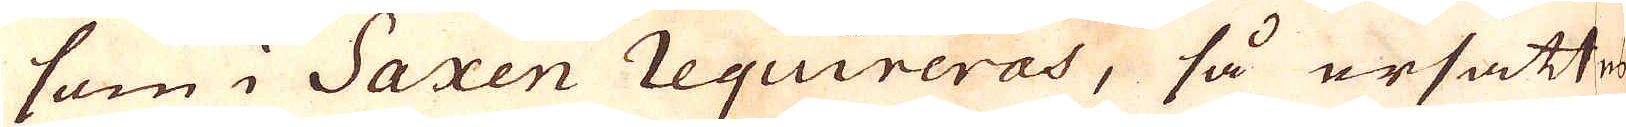som i Saxen requireras, så ersattes
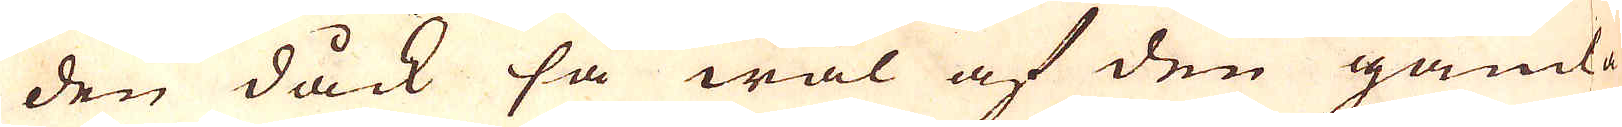den dåck så wäl af den gamla
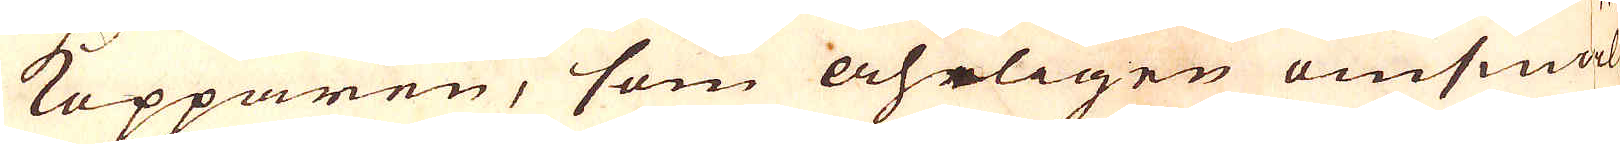Kopparen, som åhrligen omsmäl-
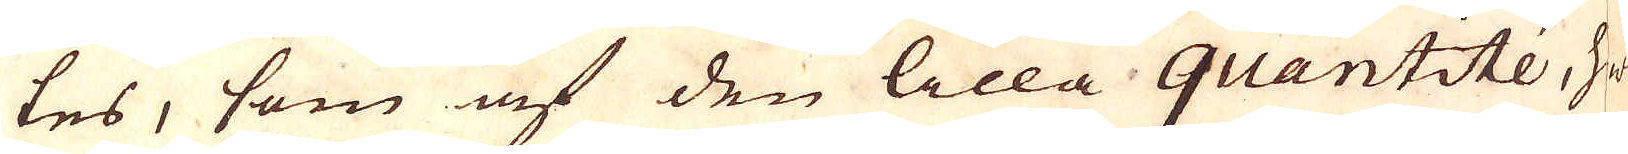tes, som af den lilla quantitée, wil-e
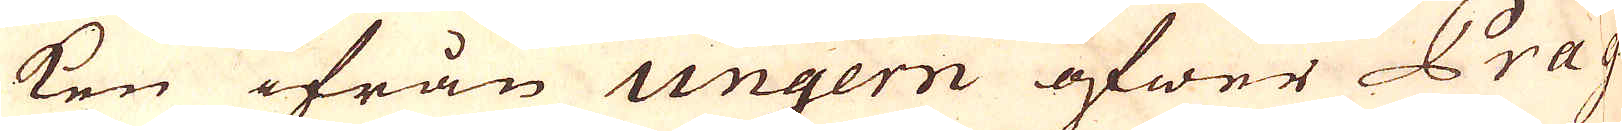ken ifrån ungern öfwer Prag
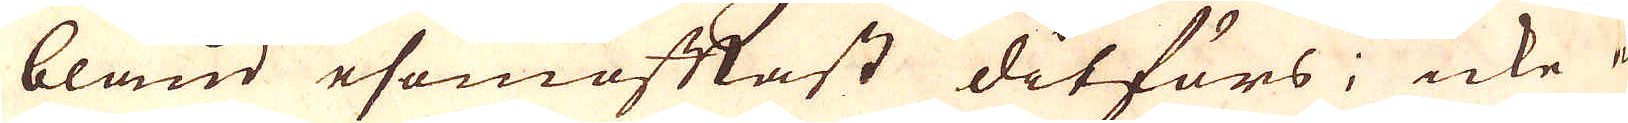bland esomoftast ditförs; icke el-
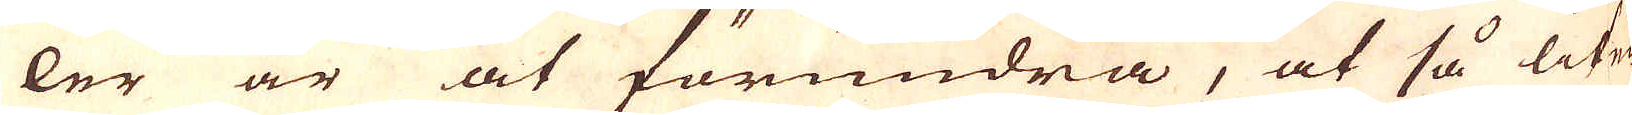ler är at förundra, at så lite
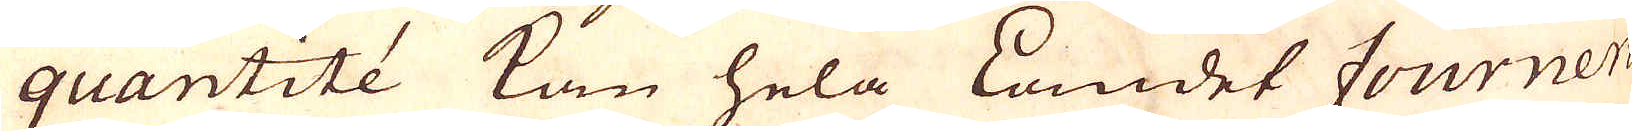quantitée kan helaLanmdet fournera
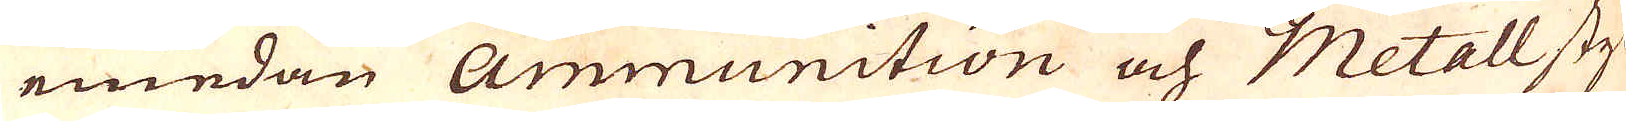emedan Ammunition och Metallstyc-
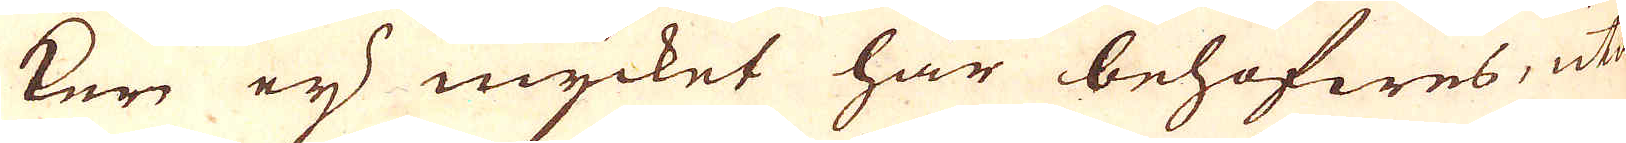ken eij mycket här behöfwes, utan
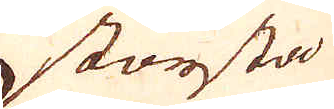största
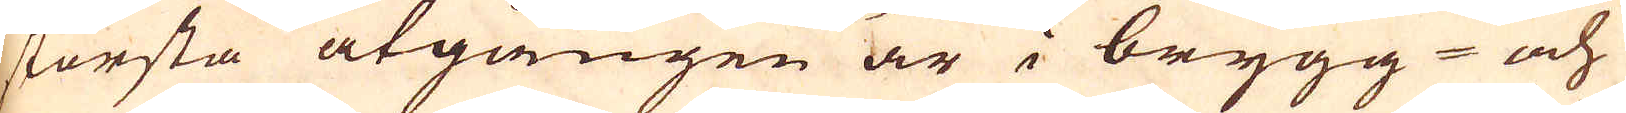största åtgången är i brygg- och
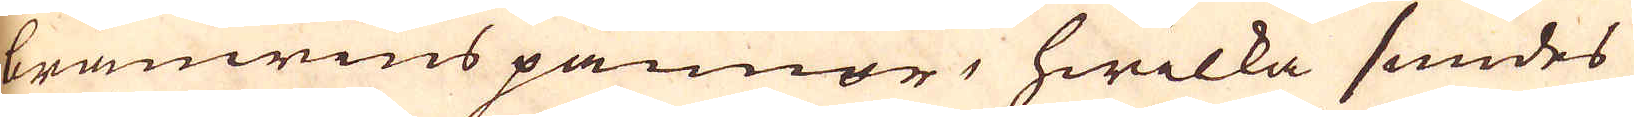brännwins pannor, hwilka smides
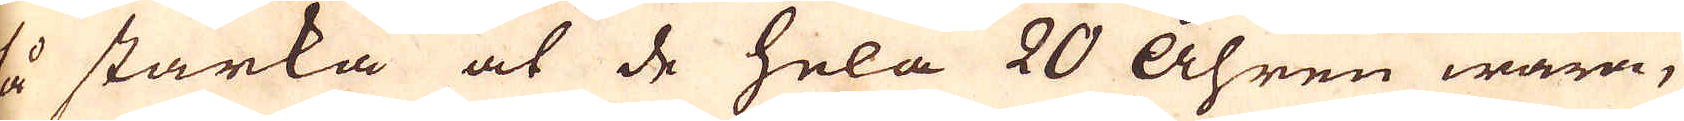så starka at de hela 20 Åhren wara,
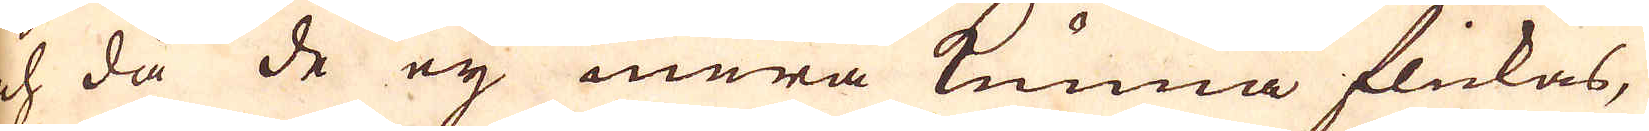och då de ej mera kunna flickas,
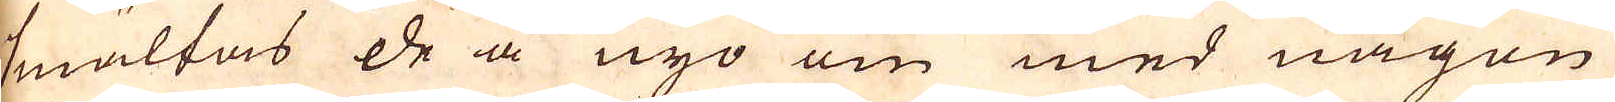smältas de å nyo om med någon
